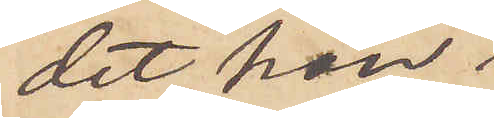det han
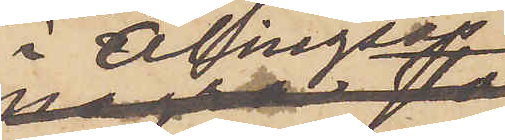i Alingsås
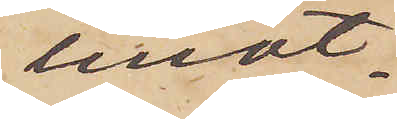mot¬
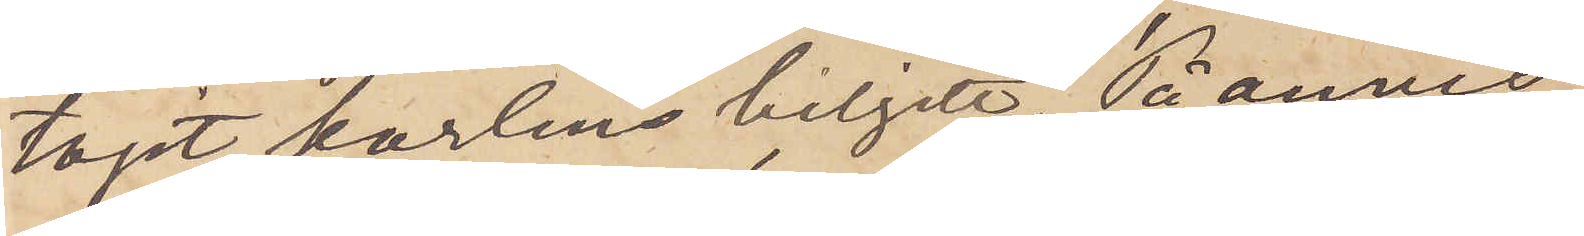tagit karlens biljett. På anvis¬
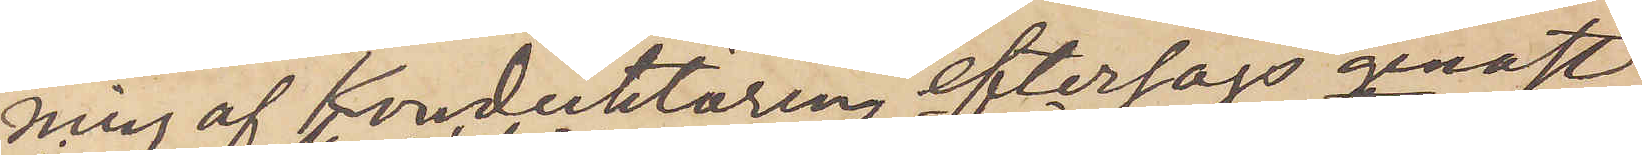ning af Konduktören  eftersågs genast
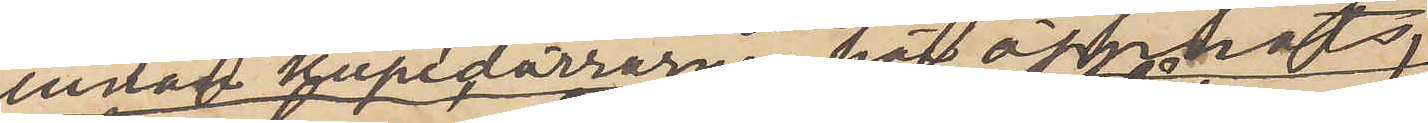innan kupédörrarne här öppnats,
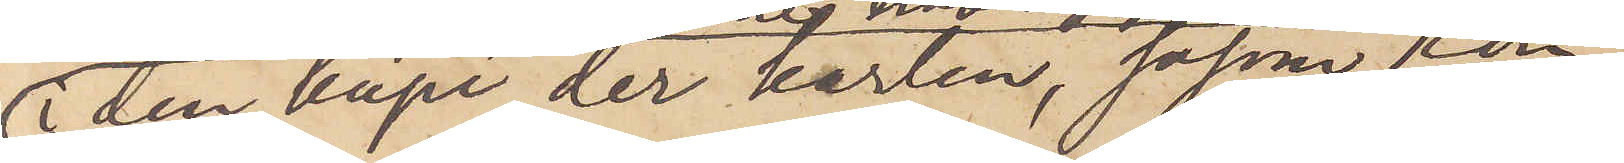i den kupé der karlen, såsom Kon¬
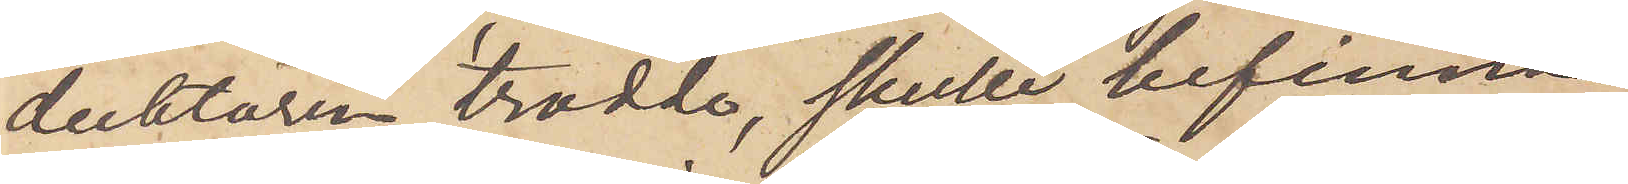duktören trodde, skulle befinna
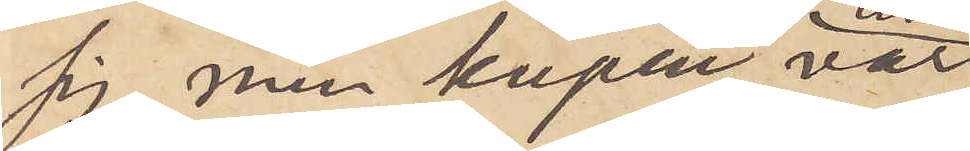sig, men kupén var
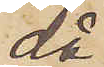då
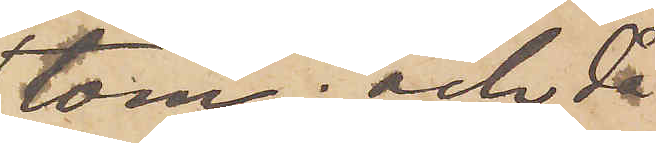tom; och då
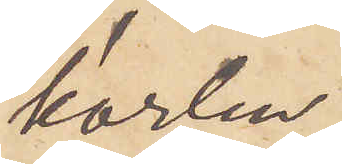karlen
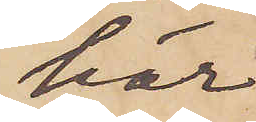här
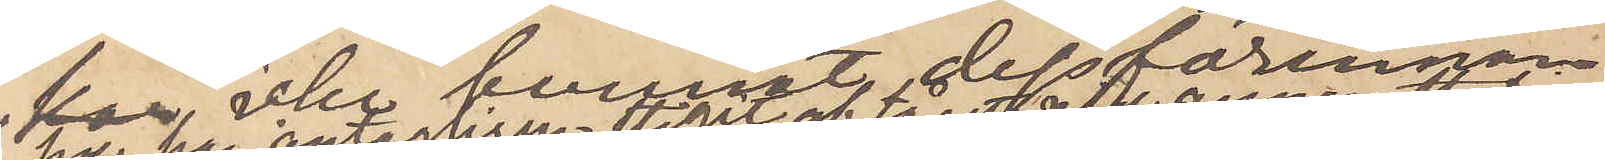icke kunnat dessförinnan
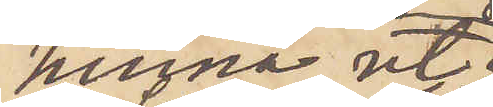hinna ut
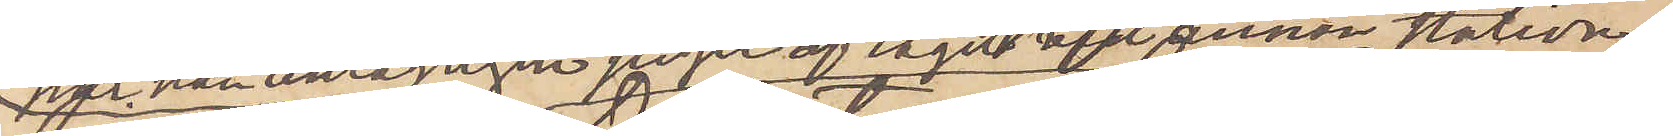har han antagligen stigit af tåget vid annan station .
